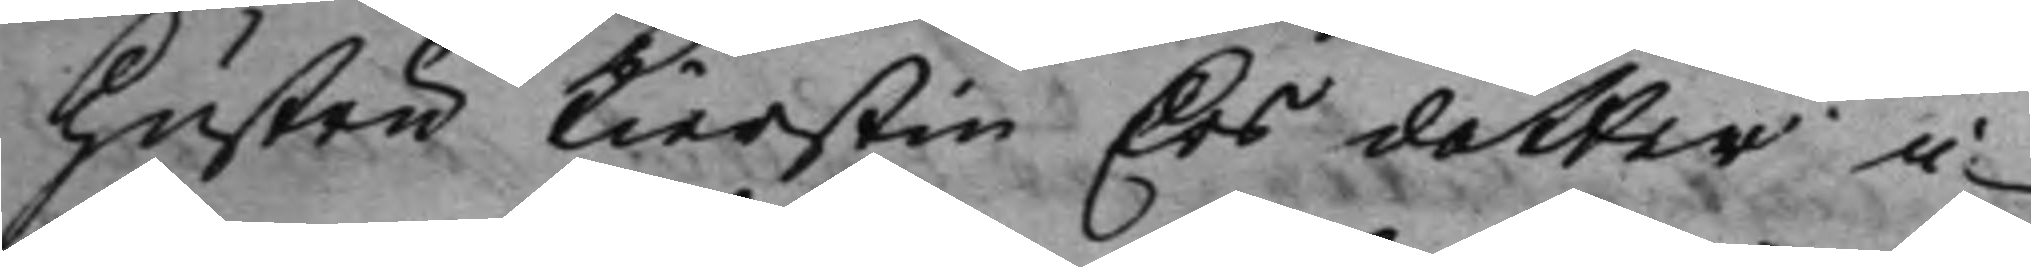Hustru Kierstin Ersdotter i
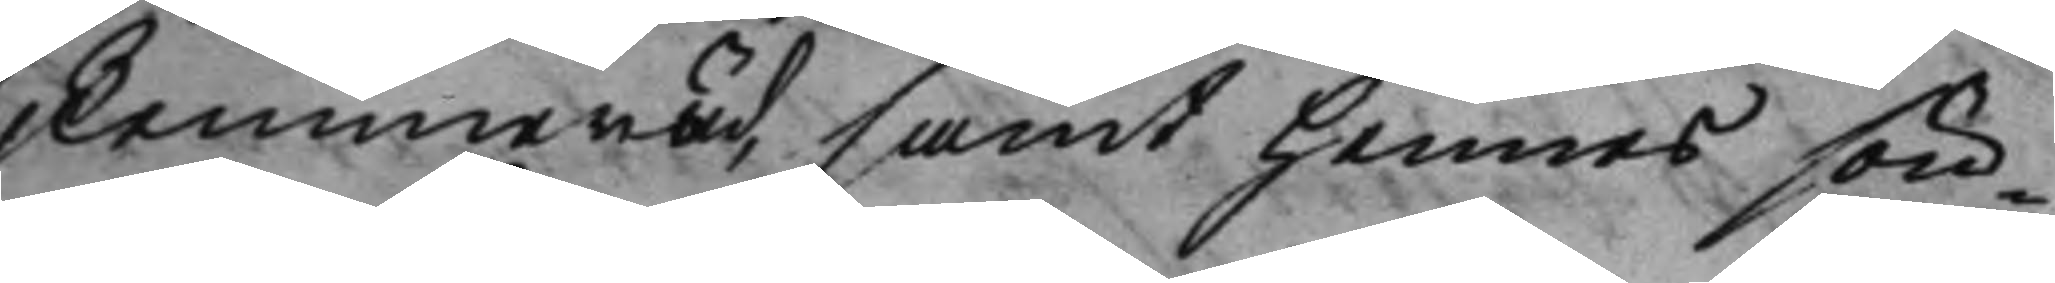Remmeröd, samt hennes sön¬
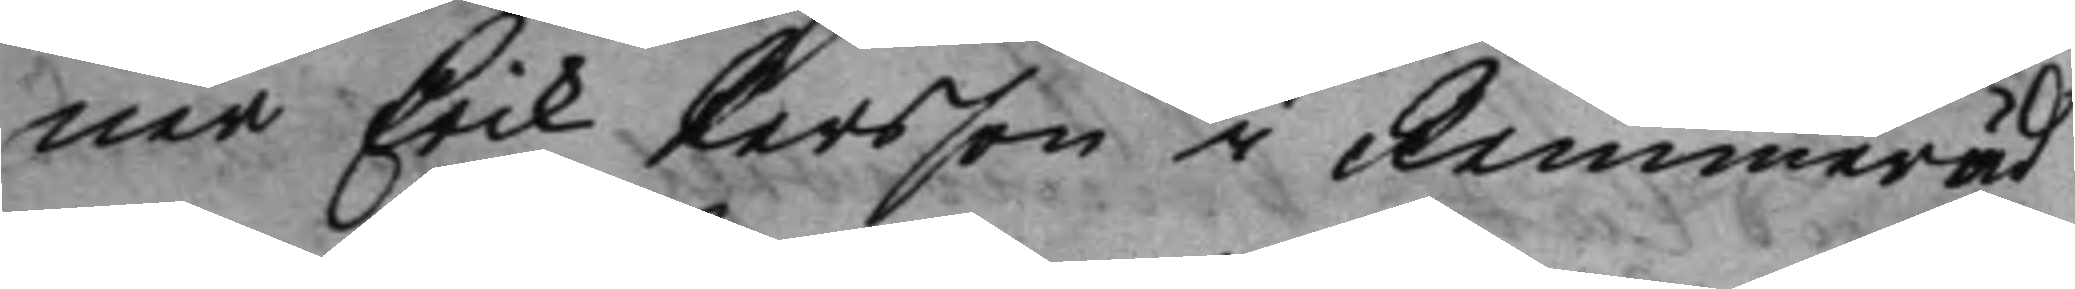ner Erik Persson i Remmeröd
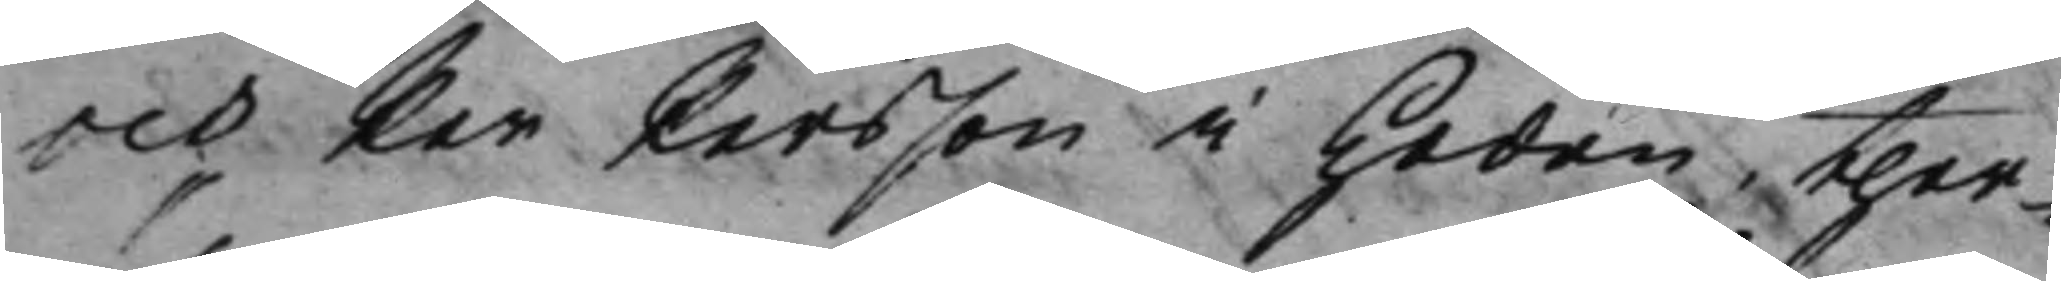och Per Persson i Heden ther¬
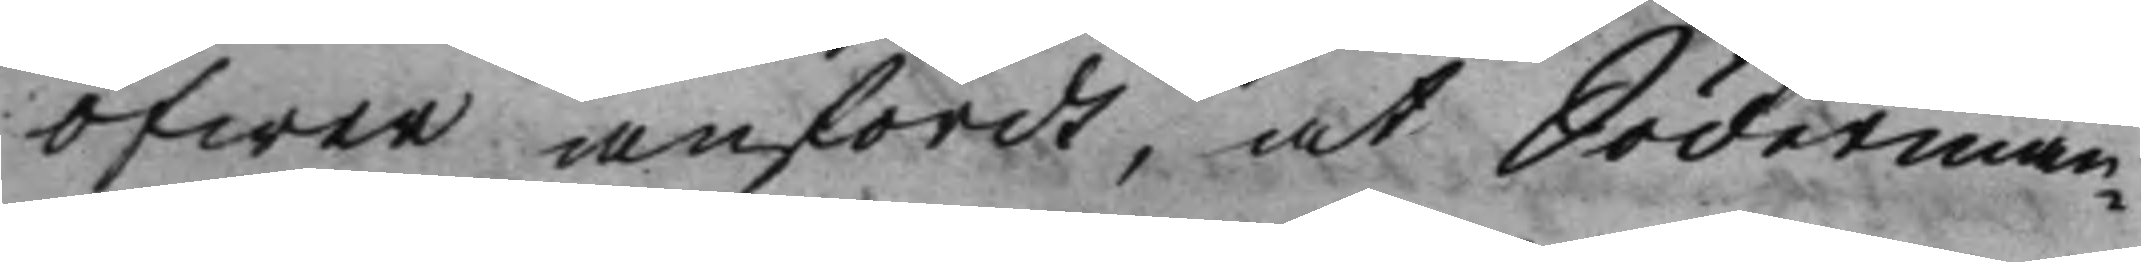öfwer anfördt, at Söderman¬
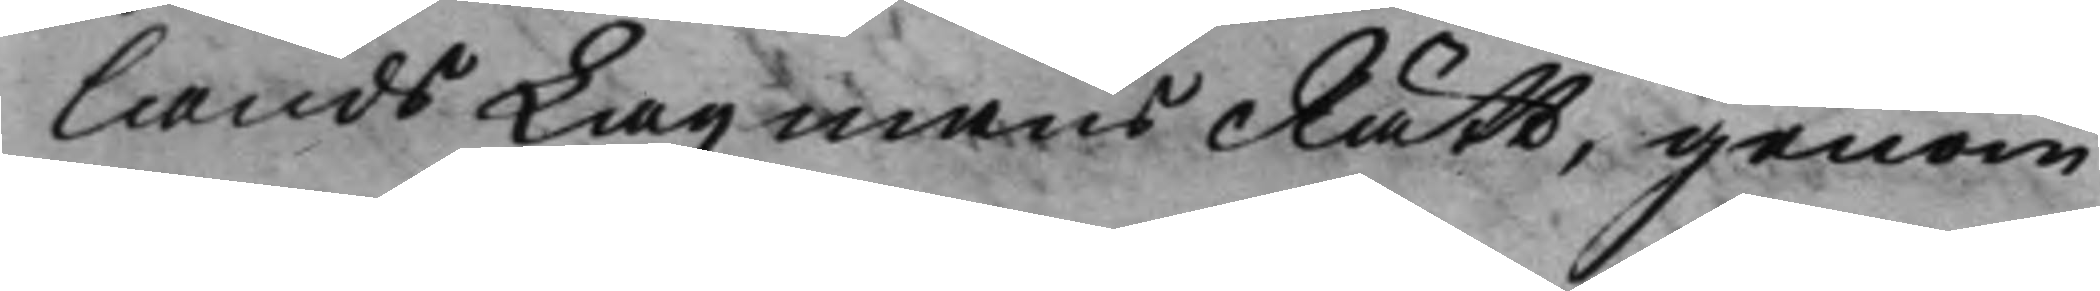lands LagmansRätt, genom
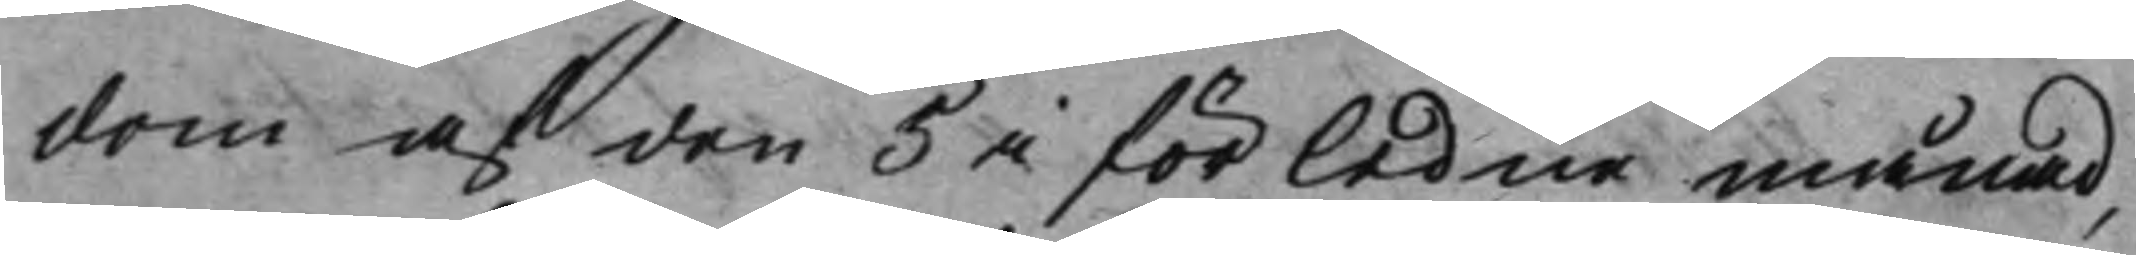dom af den 5 i förledne månad,
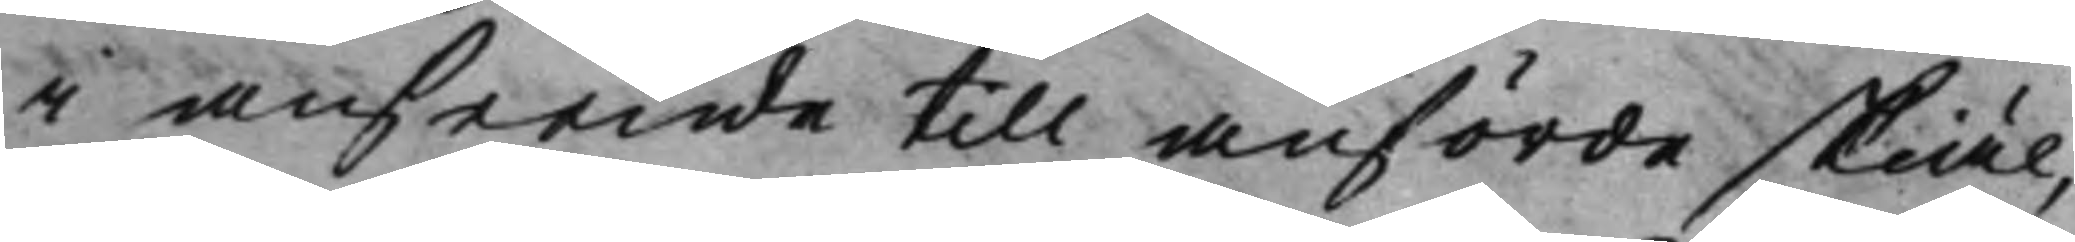i anseende till anförde skiäl,
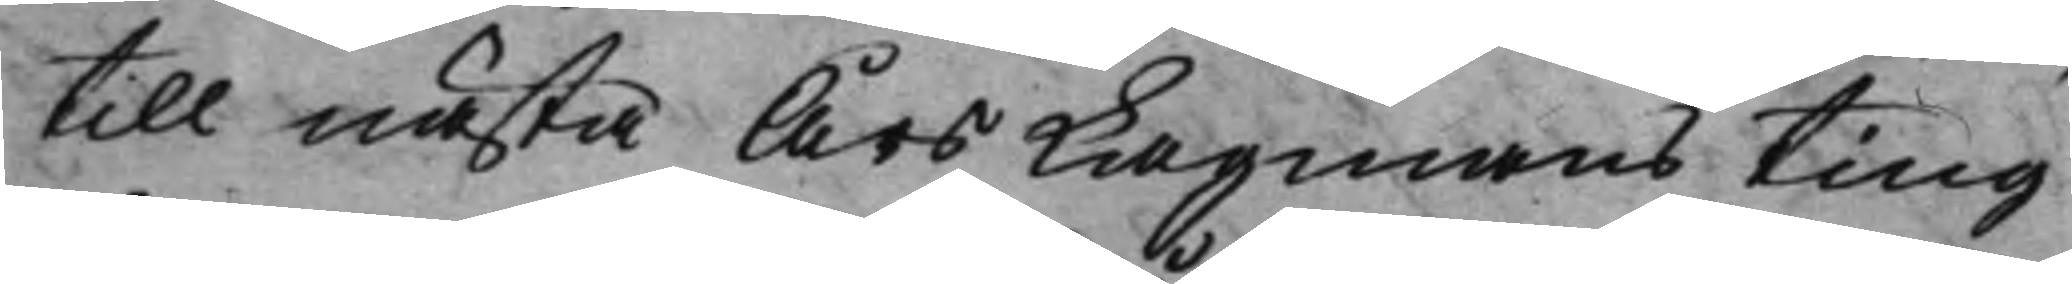till nästa Års Lagmans ting
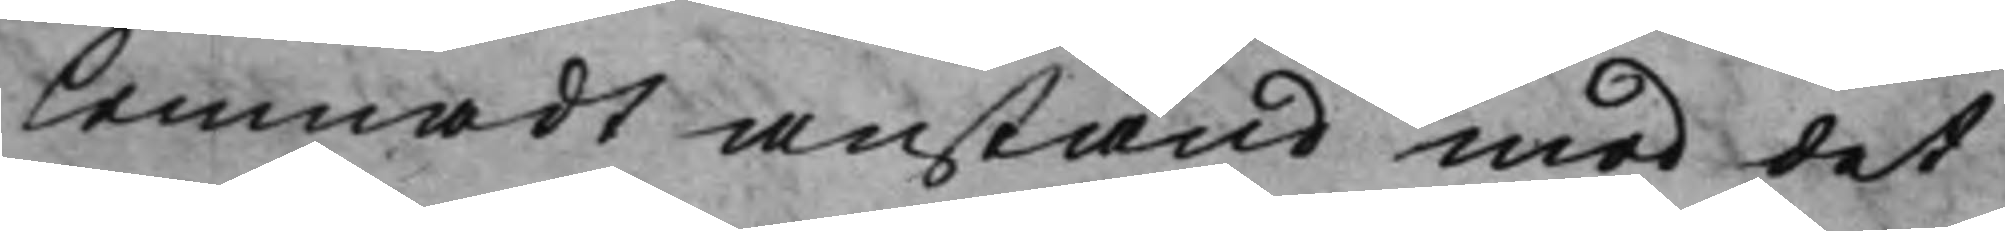lemnadt anstånd med det
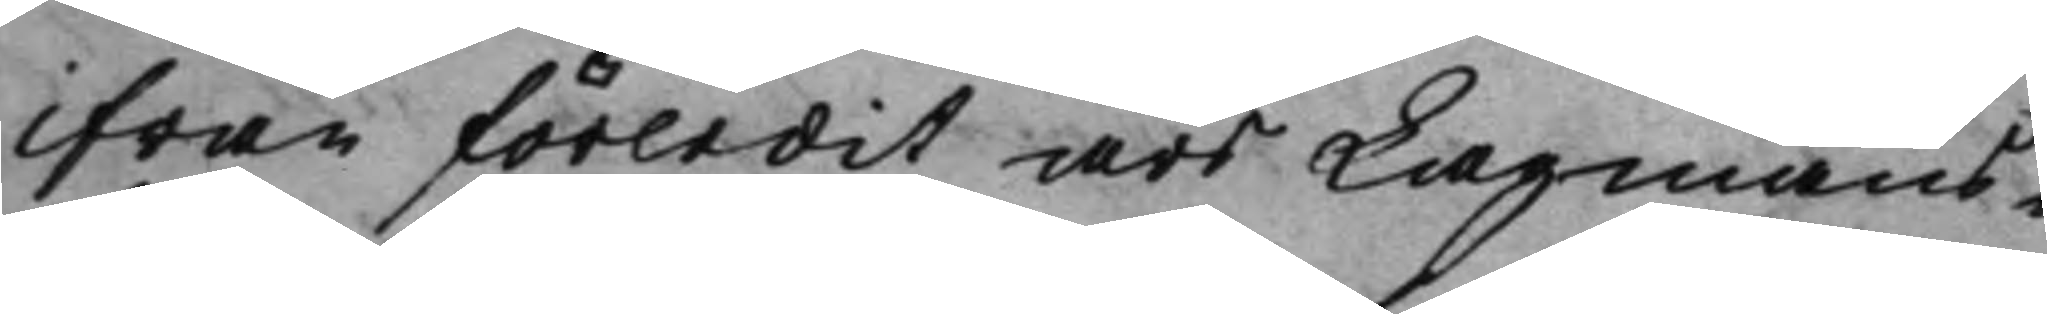ifrån förledit års Lagmans¬
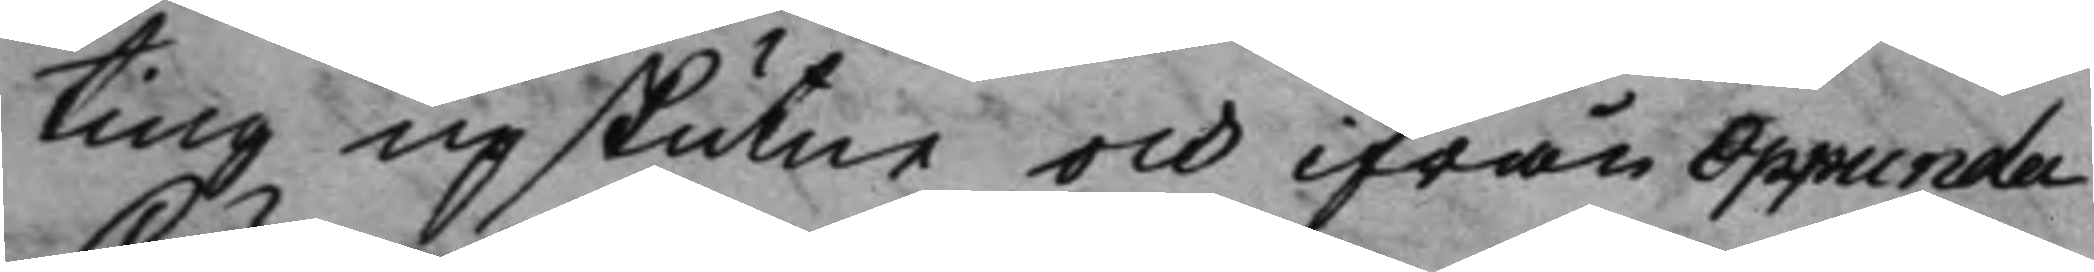ting upskutne och ifrån Oppunda
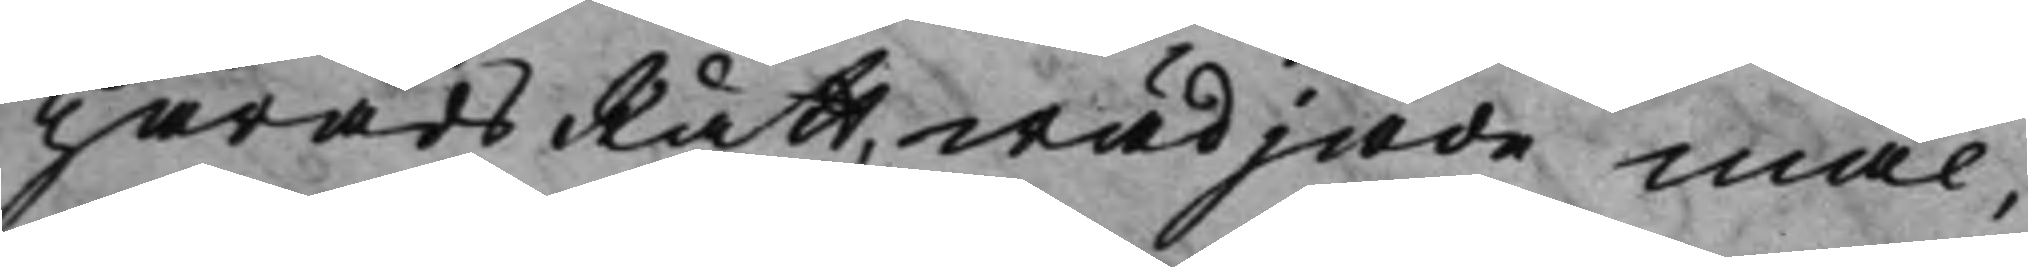HäradsRätt wädjade mål,
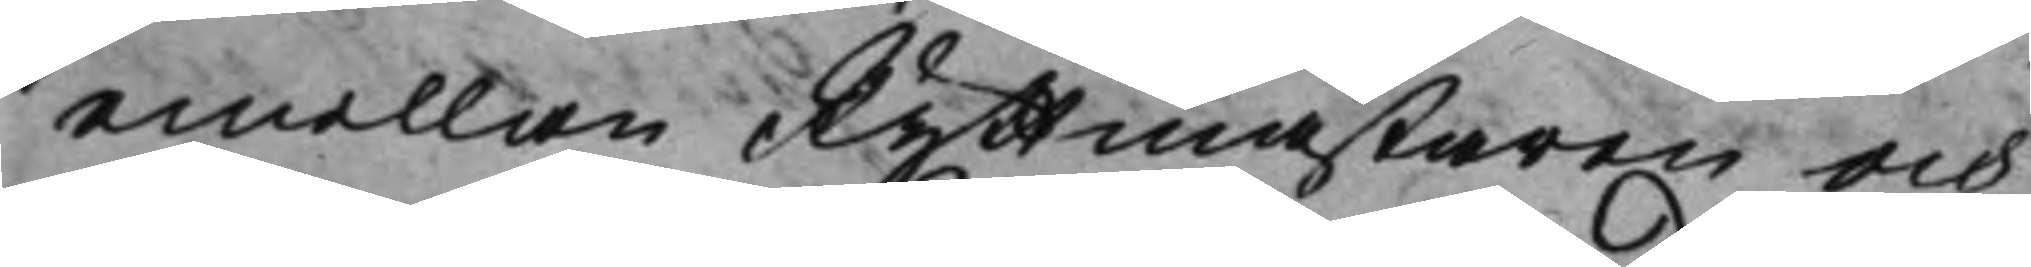emellan Ryttmästaren och
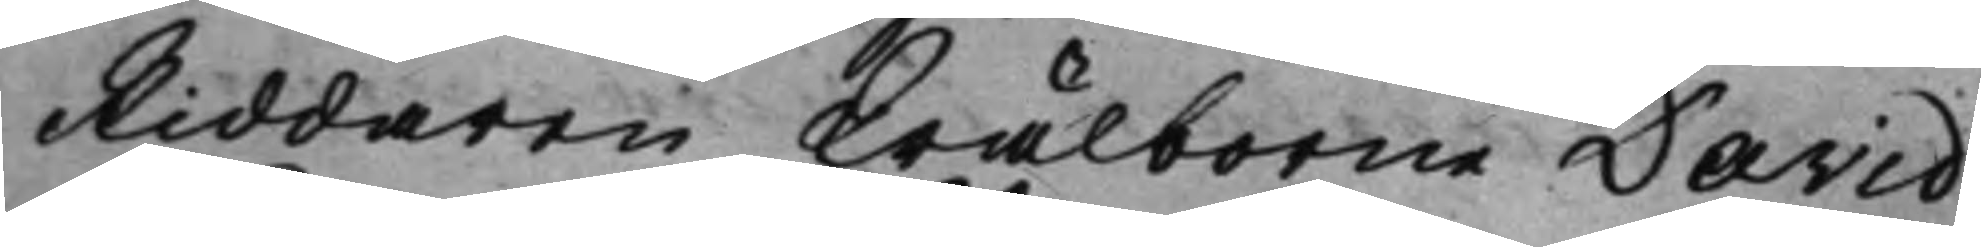Riddaren Wälborne David
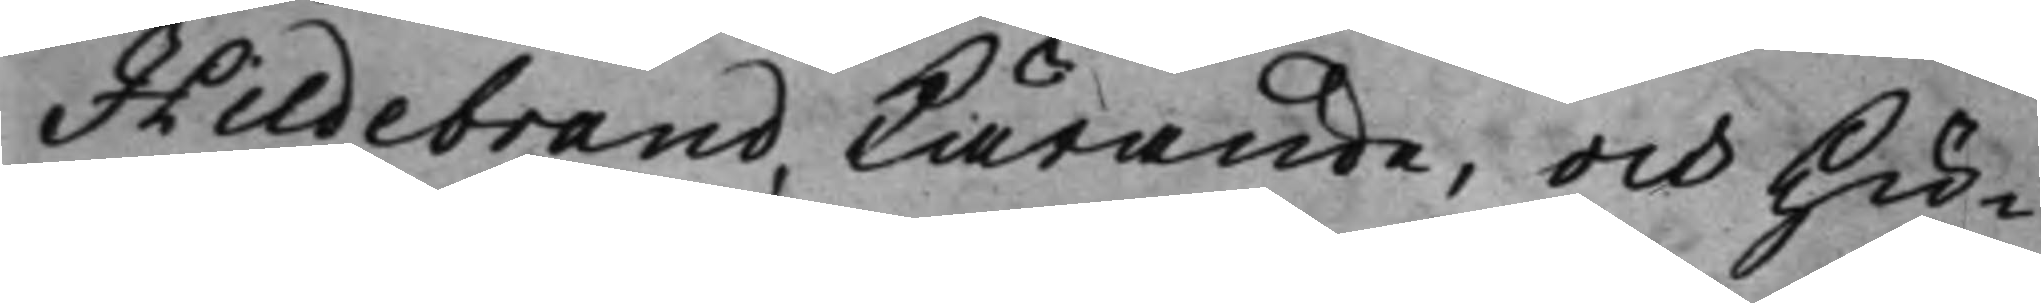Hildebrand, Kärande, och Hu¬
